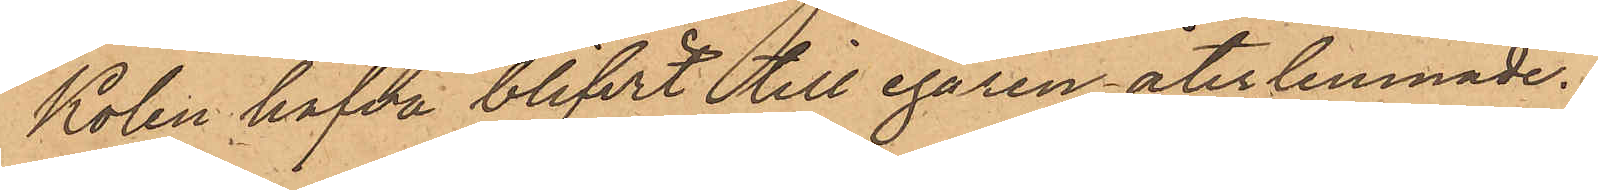Kolen hafva blifvit till egaren återlemnade.
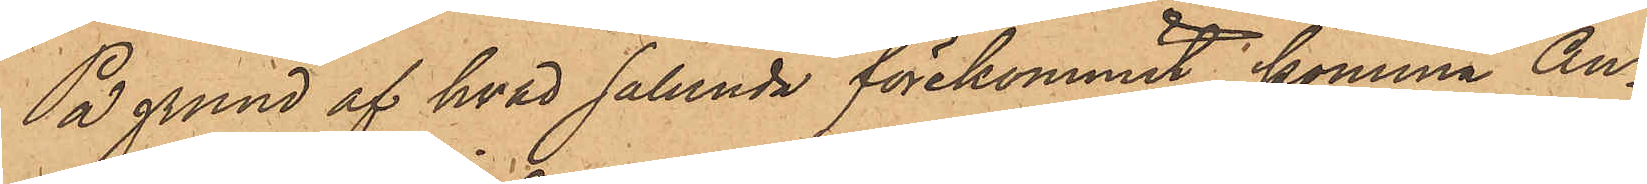På grund af hvad sålunda förekommit, komma An¬
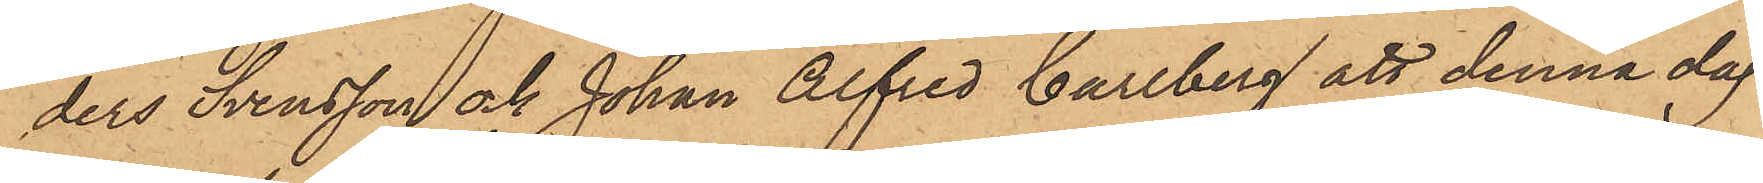ders Svensson och Johan Alfred Carlberg att denna dag
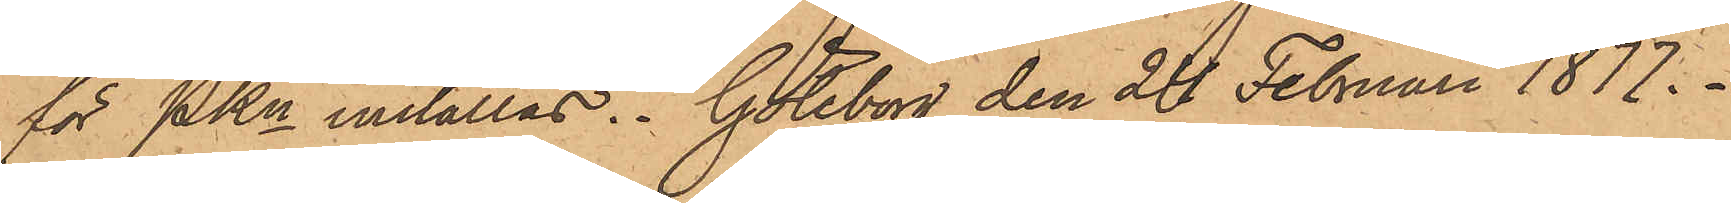för PKn inställas. Göteborg den 24 Februari 1877.
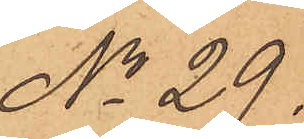No 29.
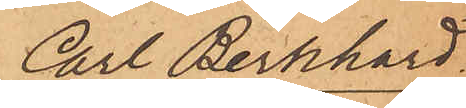Carl Bernhard.
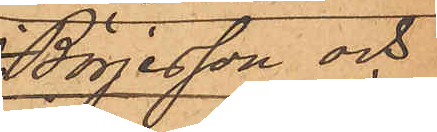Börjesson och
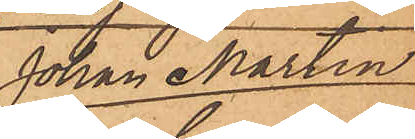Johan Martin
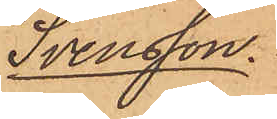Svensson.
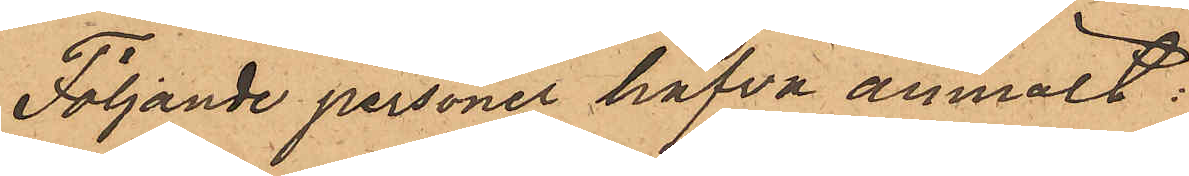Följande personer hafva anmält:
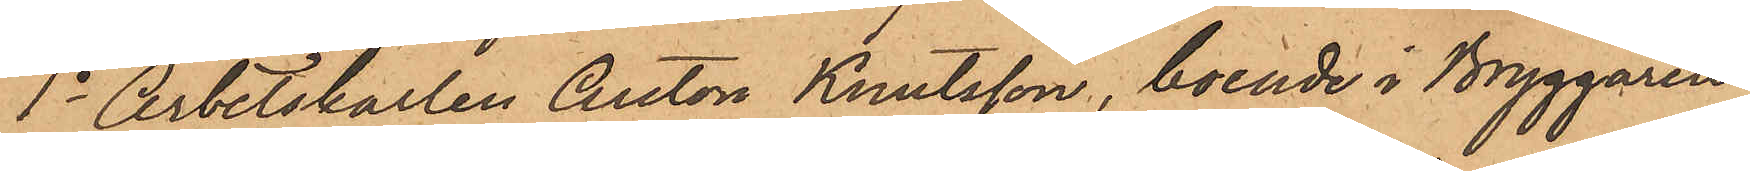1o Arbetskarlen Anton Knutsson, boende i Bryggaren
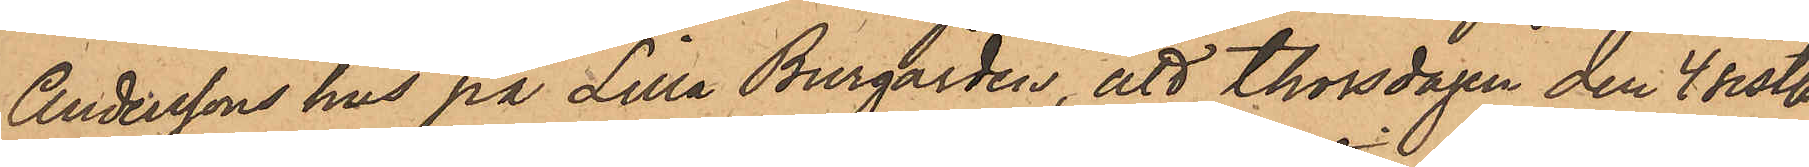Anderssons hus på Lilla Burgården, att Thorsdagen den 4 sistl.
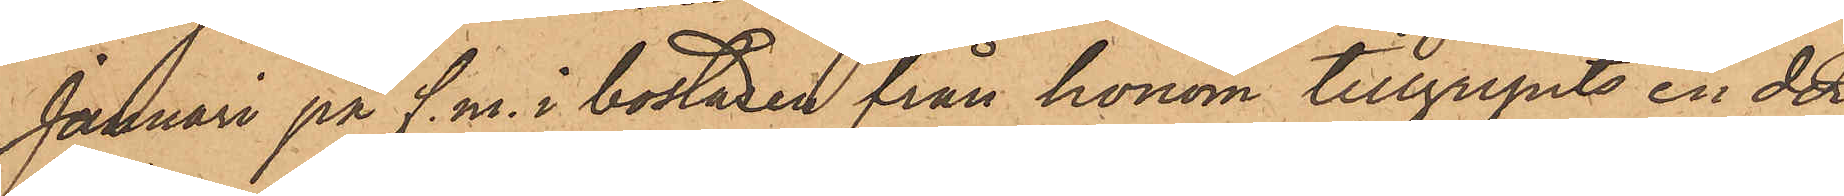Januari på f. m. i bostaden från honom tillgripits en der
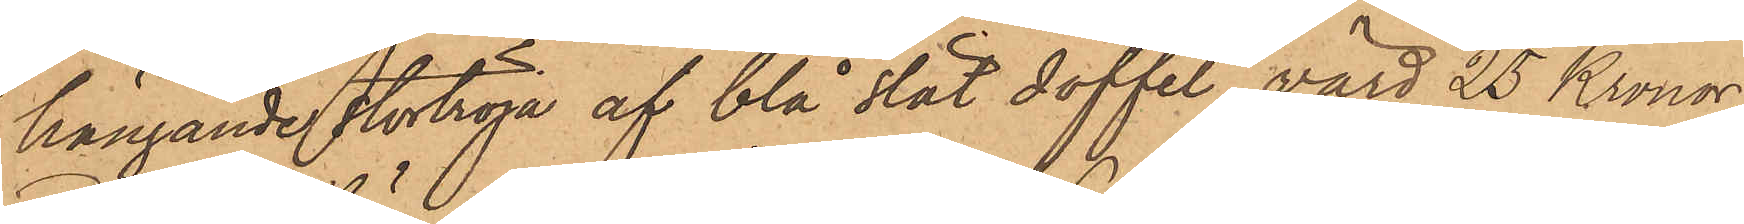hängande stortröja af blå slät doffel, värd 25 Kronor;
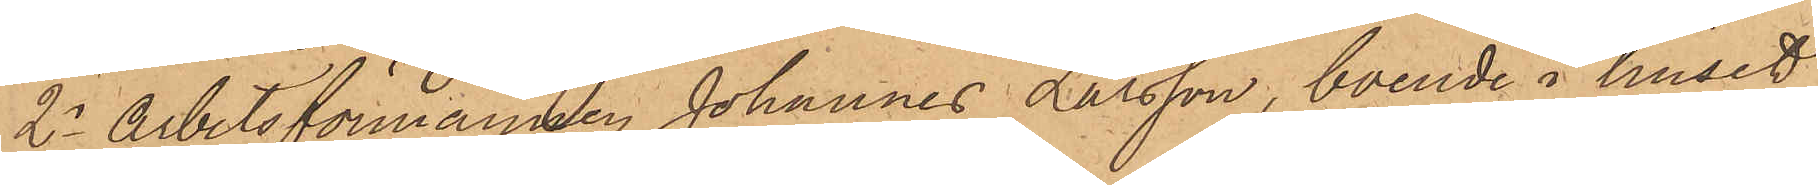2o Arbetsförmannen Johannes Larsson, boende i huset
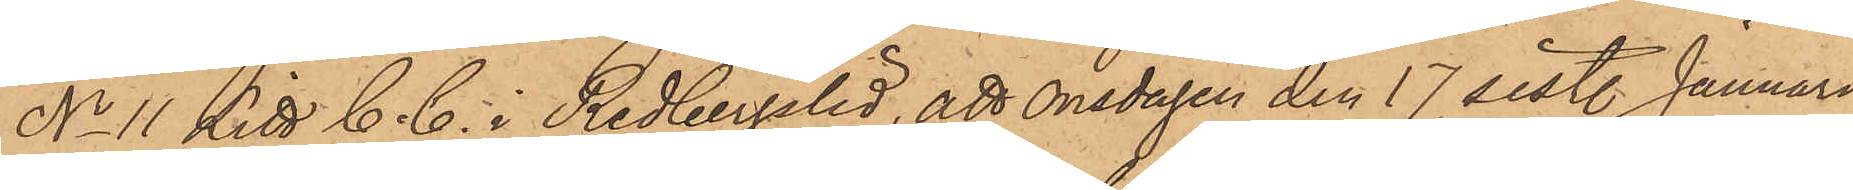No 11 Litt C. C. i Redbergslid, att onsdagen den 17 sistl. Januari
